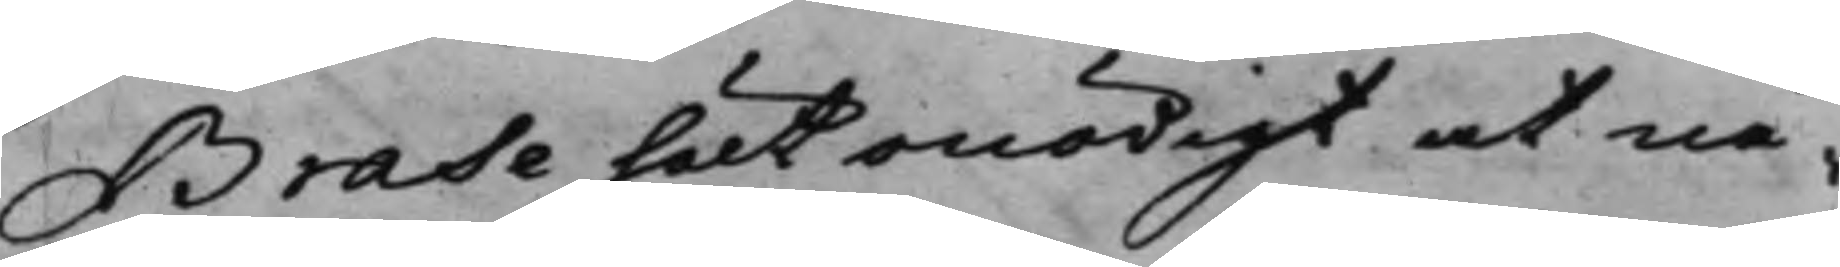Brase hölt onödigt at nå¬
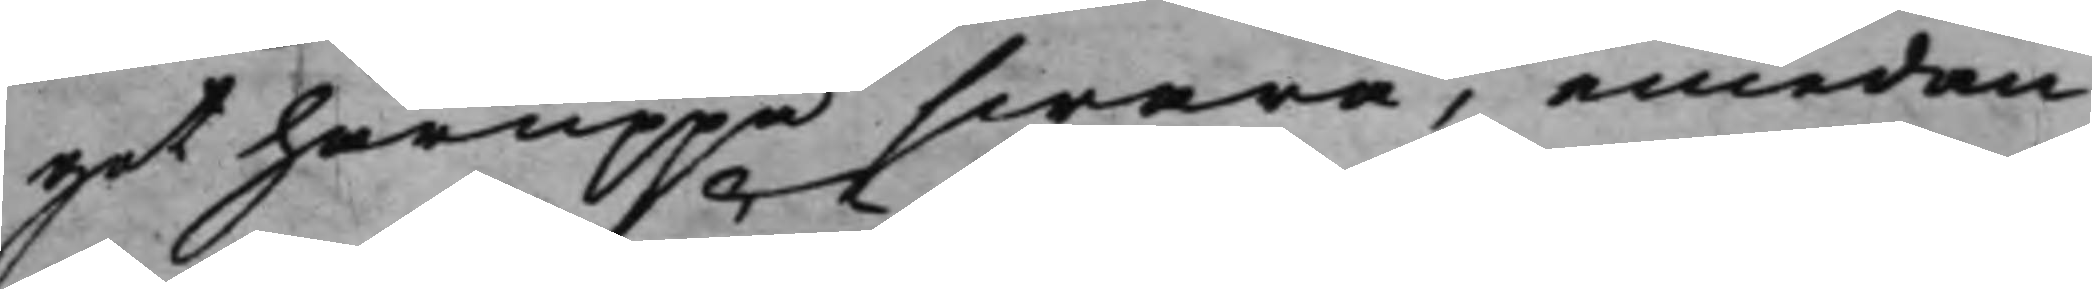got häruppå swara, emedan
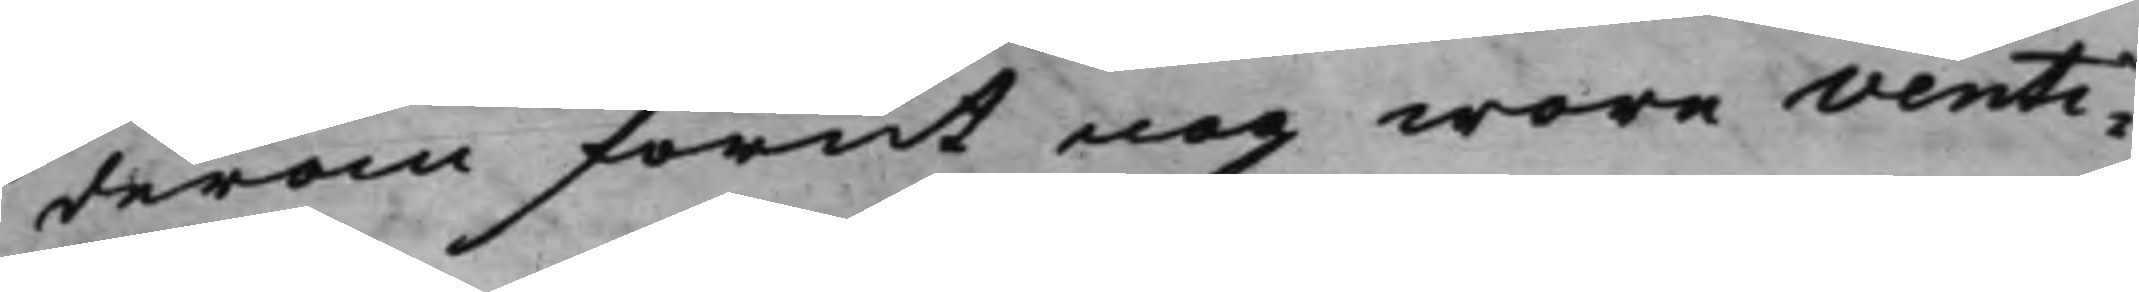derom förut nog wore venti¬
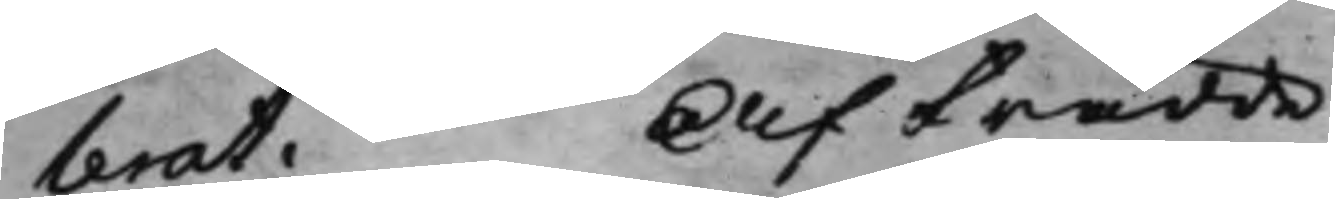lerat. Afträdde
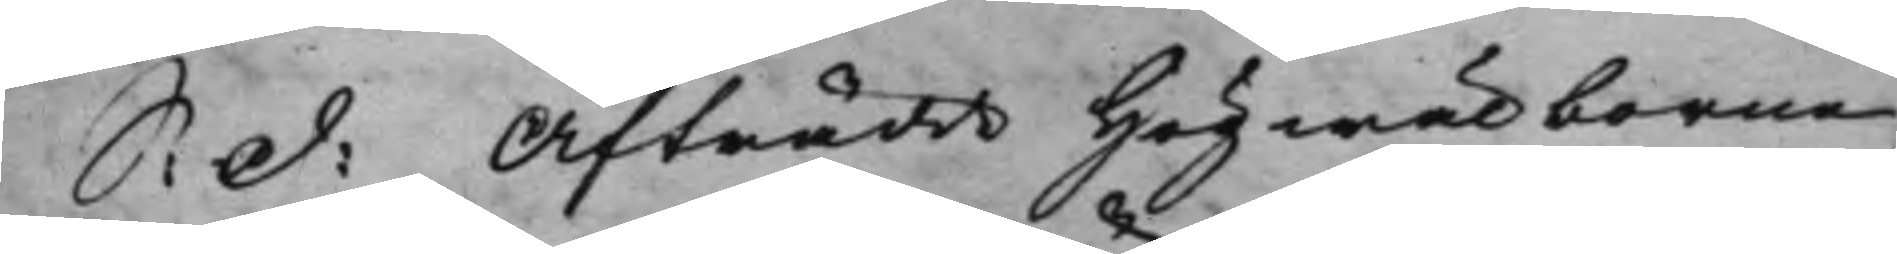S: d: Afträdde Högwälborne
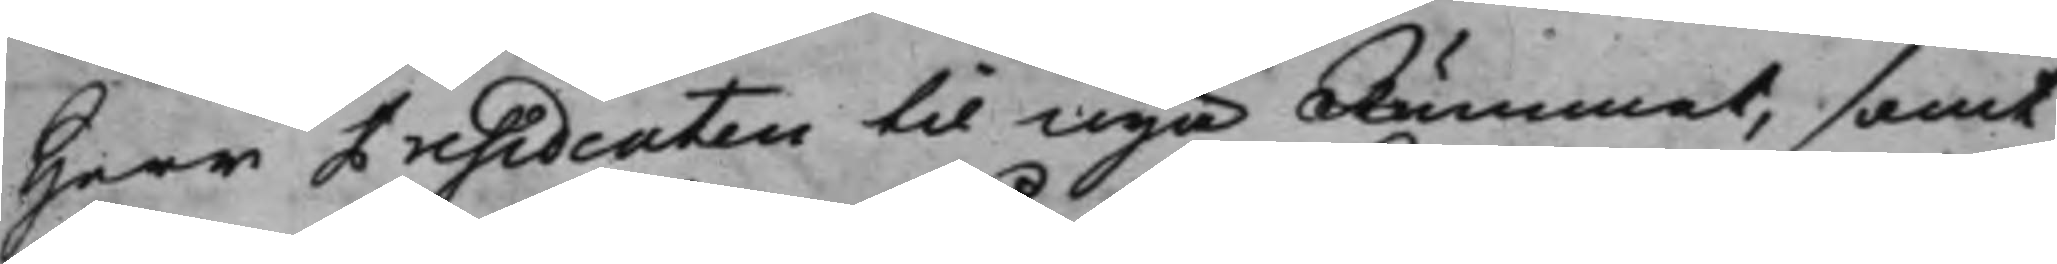Herr Presidenten til Nya Rummet, samt
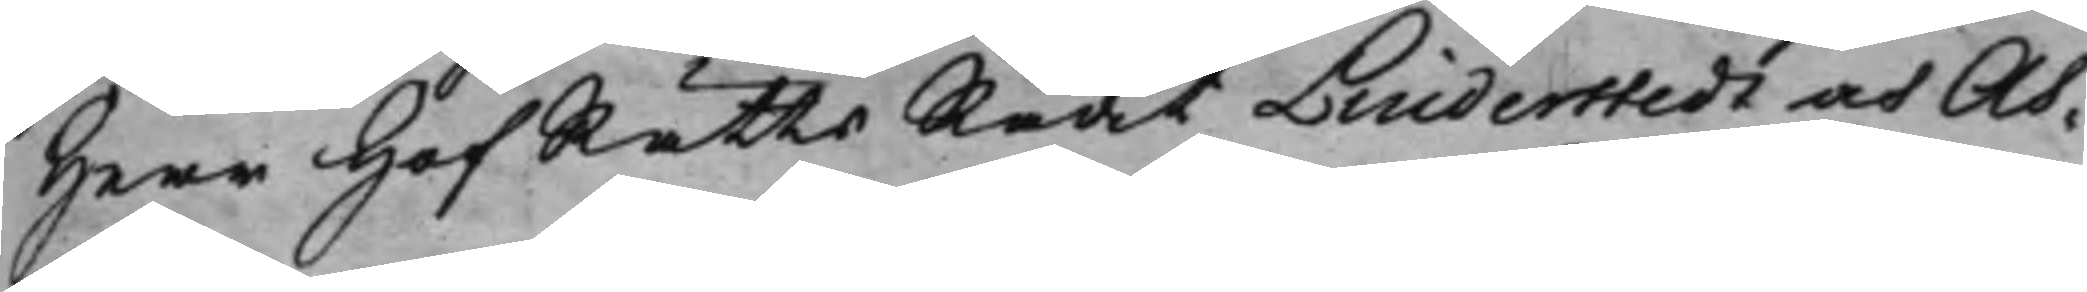Herr HofRättsRådet Linderstedt och As¬
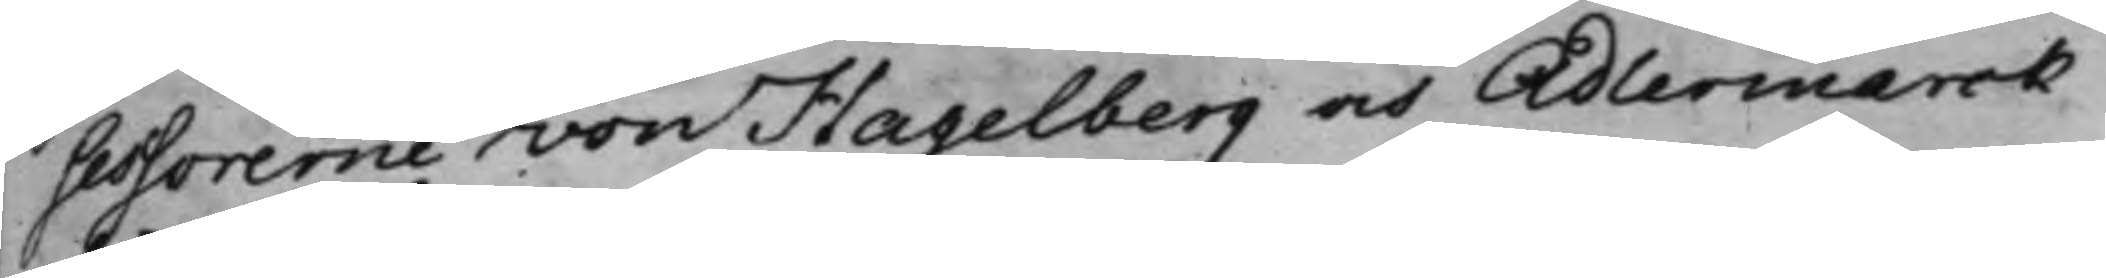sessorerne von Hagelberg och Adlermarck
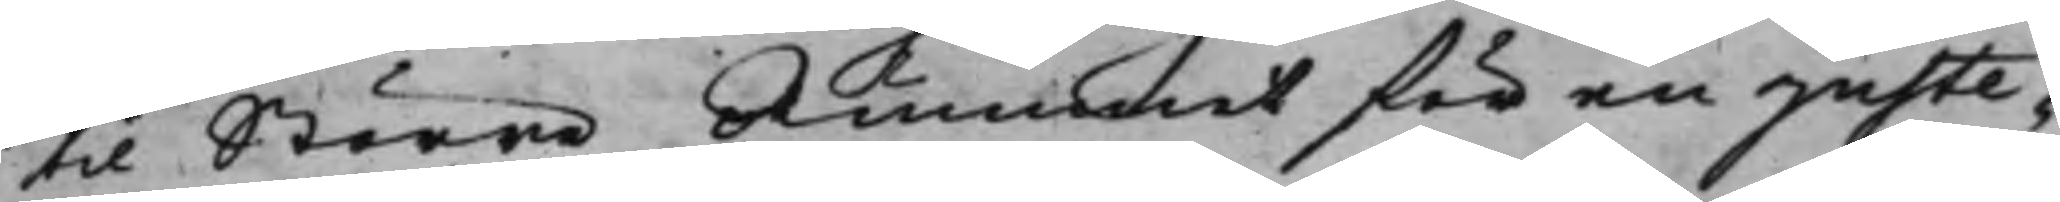til Större Rummet för en juste—¬
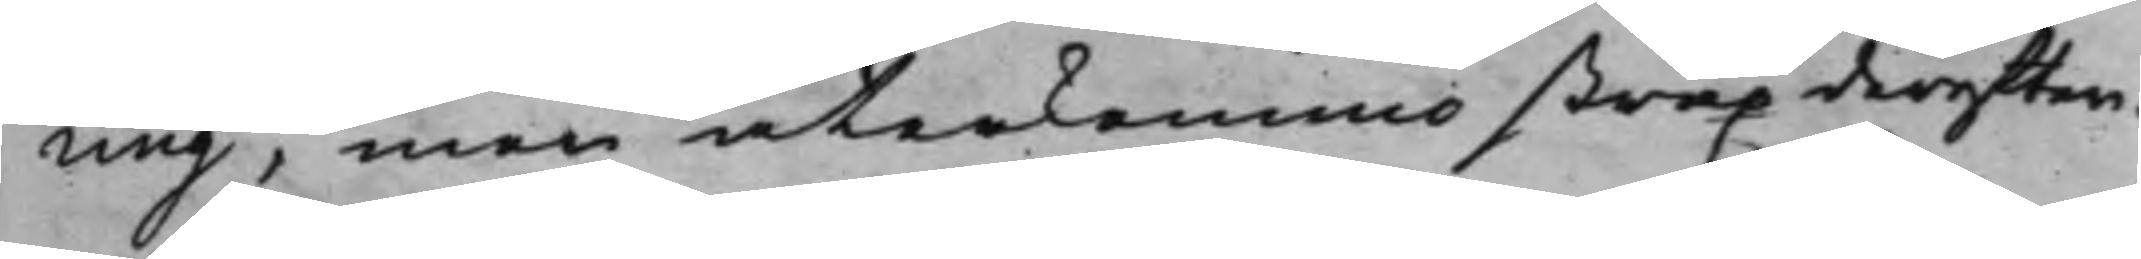ring, men återkommo strax derefter.
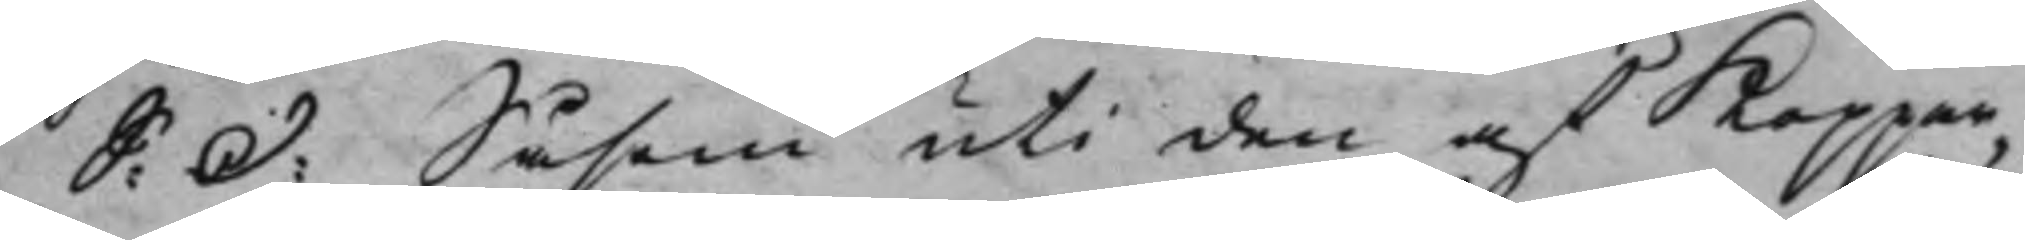S: d: Såsom uti den af Koppar¬
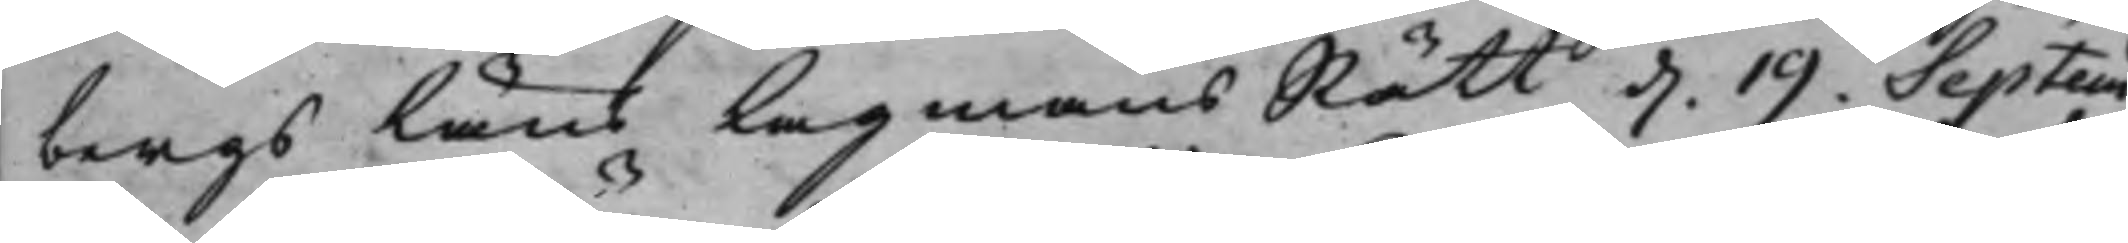bergs Läns LagmansRätt d. 19. Septem¬
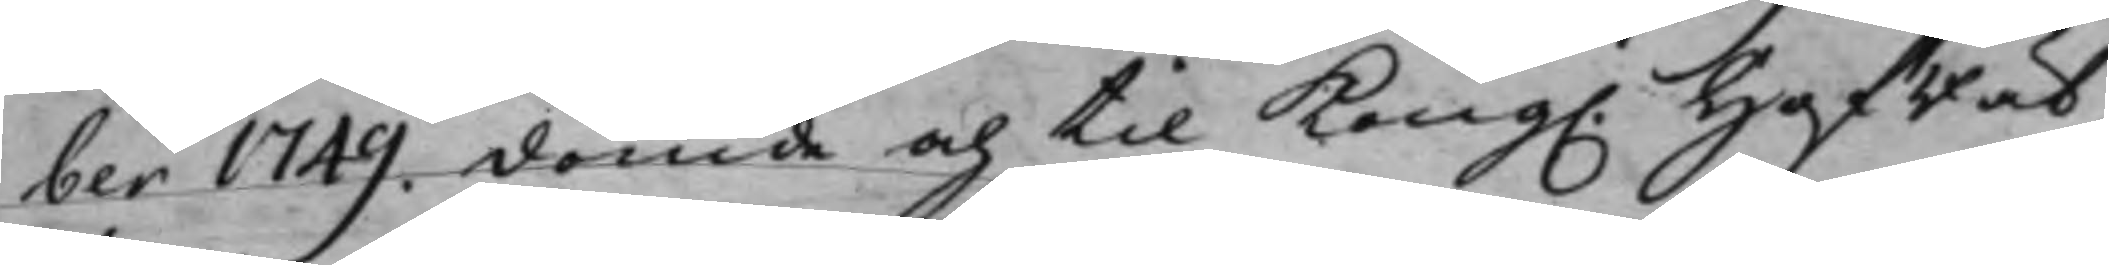ber 1749. dömde och til Kong. HofRät¬
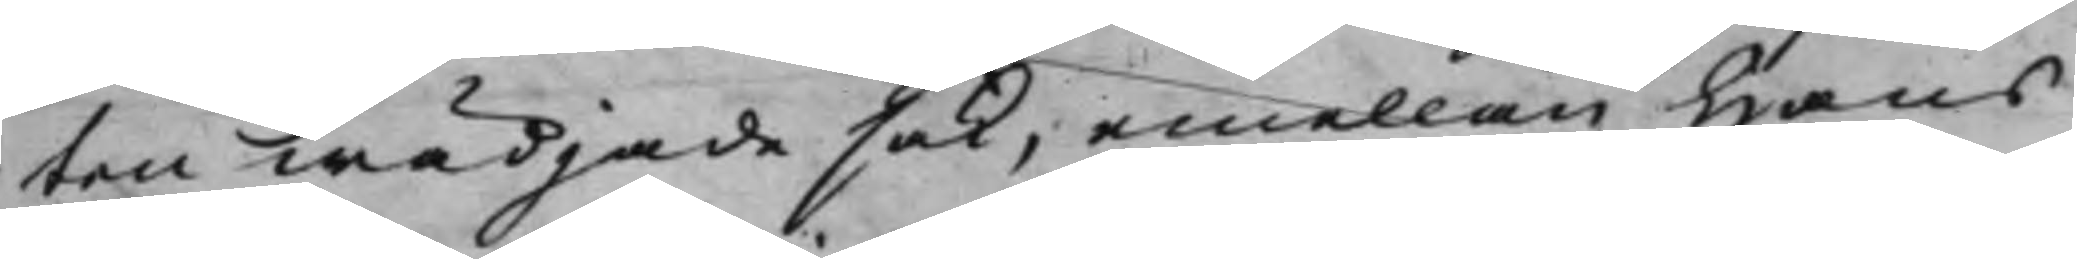ten wädjade sak, emellan Hans
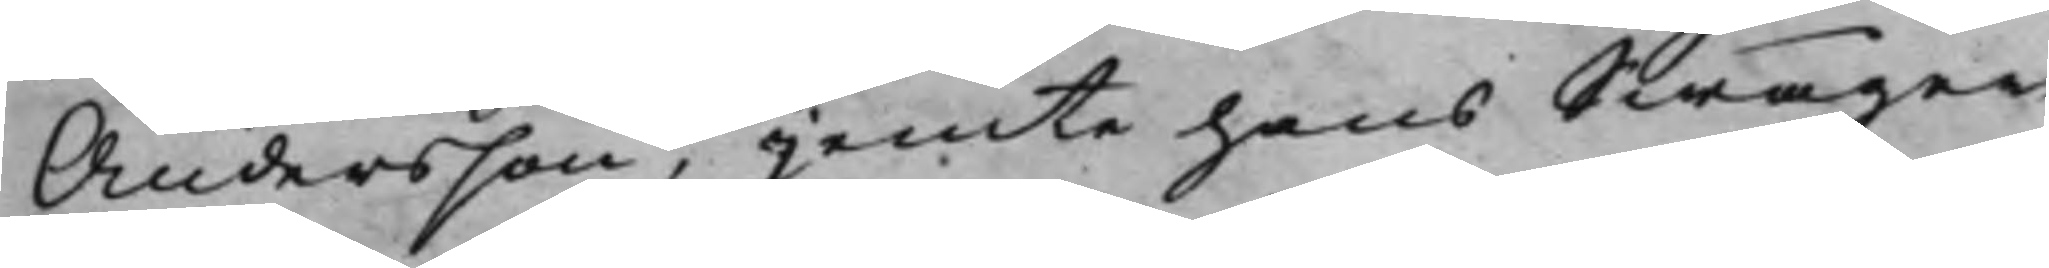Andersson, jemte hans Swåger
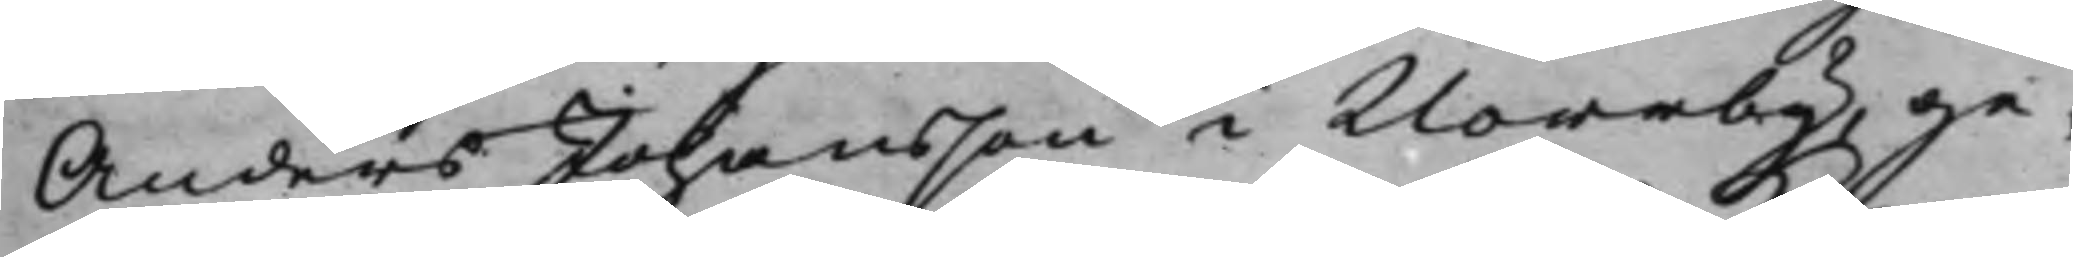Anders Johansson i Norrby, ge¬
